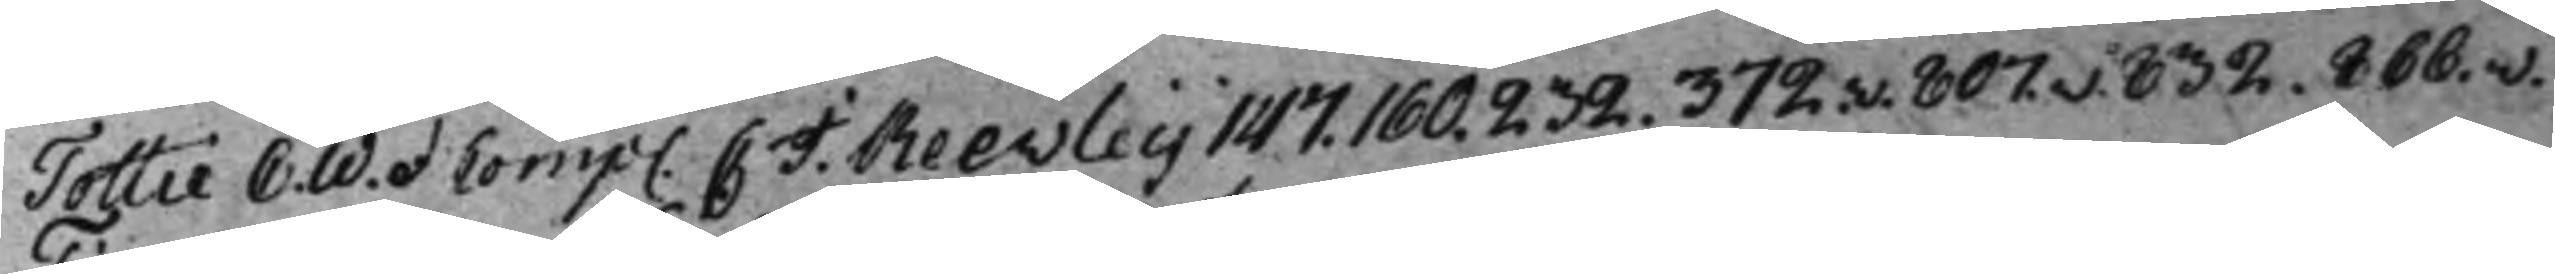Tottie C. W. et Comp. C. J. Reevleij 147. 160. 232. 372.v. 807.v. 832. 866.v.
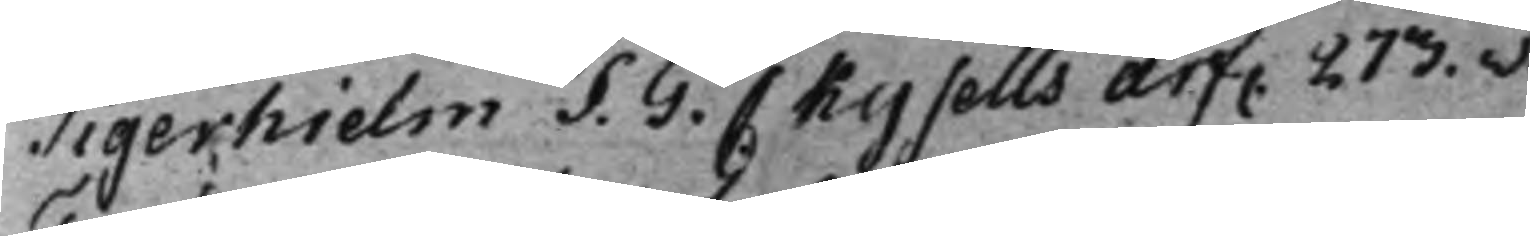Tigerhielm S. G. C. Kysells arf. 273.v.
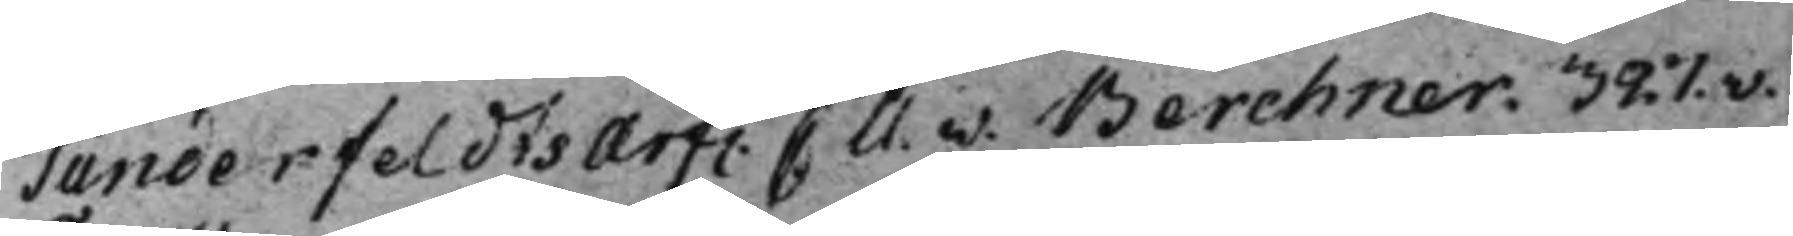Tunderfeldts Arf. C. U. v. Berchner. 327.v.
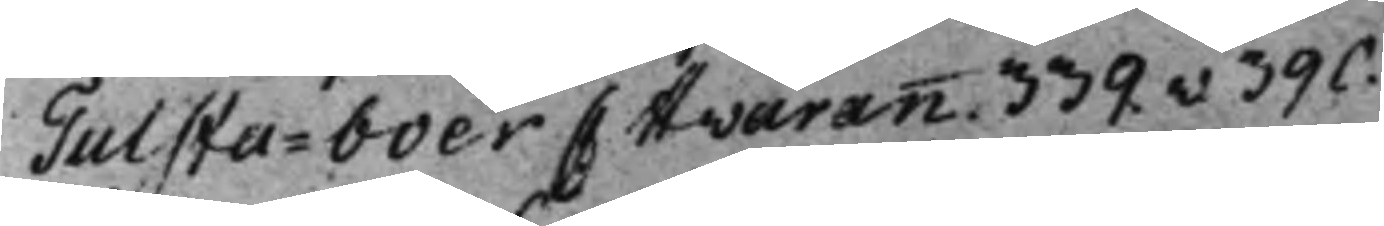Tulsta-boer C Hwarann. 339.v 390.
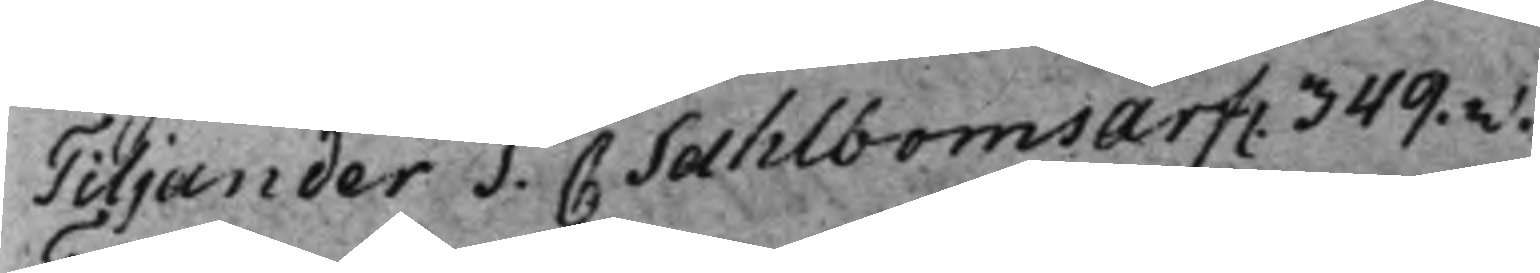Tiljander S. C. Sahlboms Arf. 349.v.
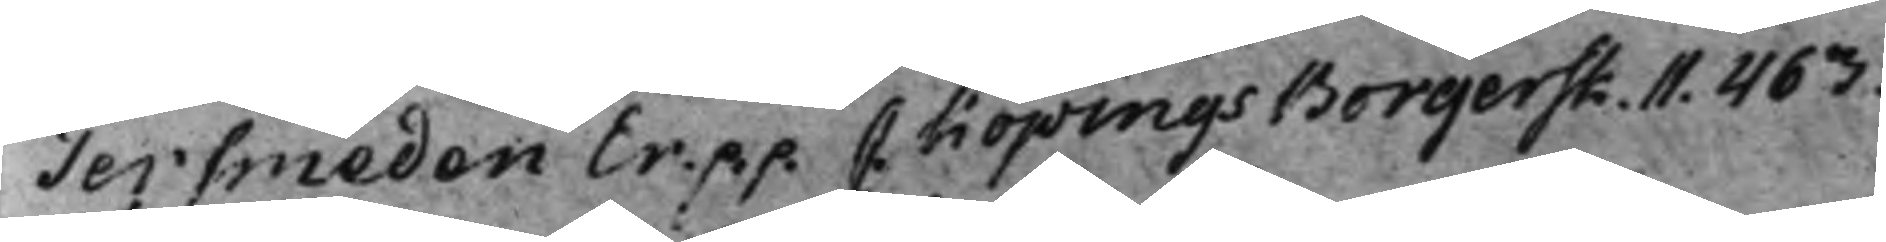Tersmeden Er. p.p. C. Köpings Borgersk.11. 463.
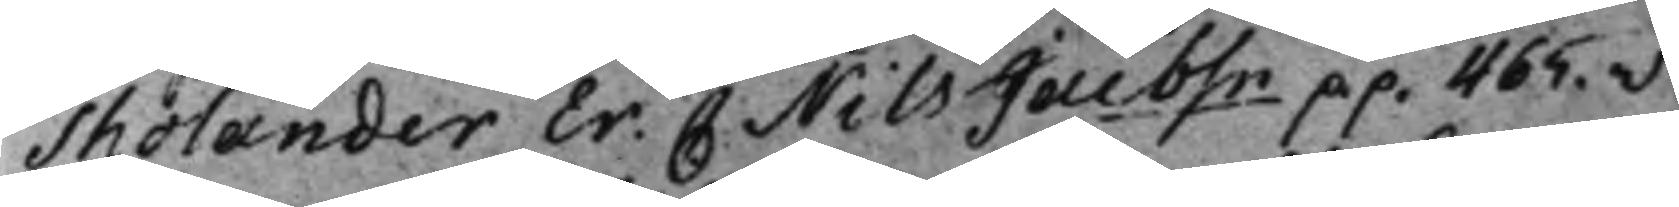Tholander Er. C Nils Jacbsn p.p. 465.v.
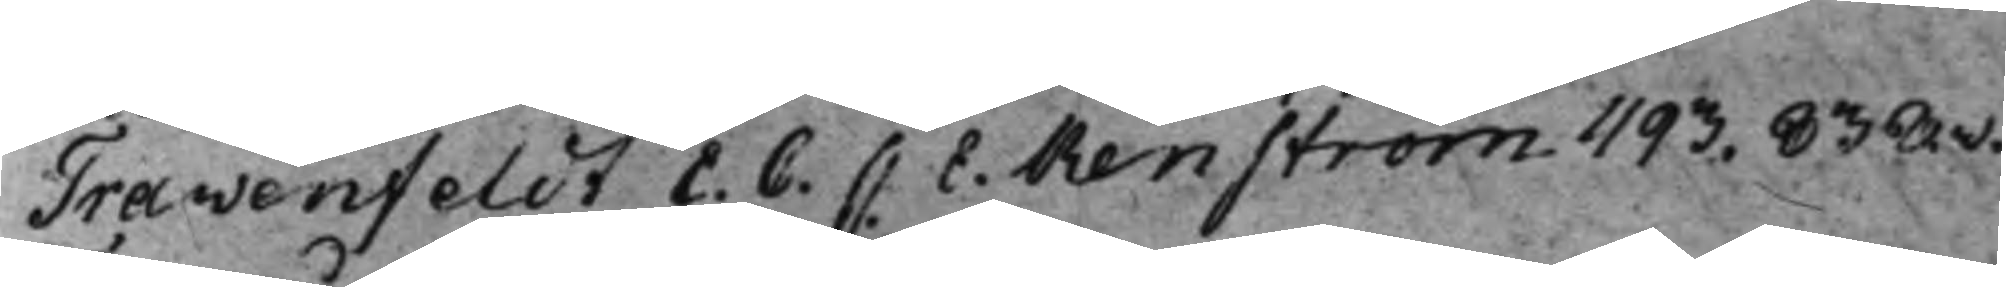Travenfeldt E. C. C E. Renström. 493. 838.v.
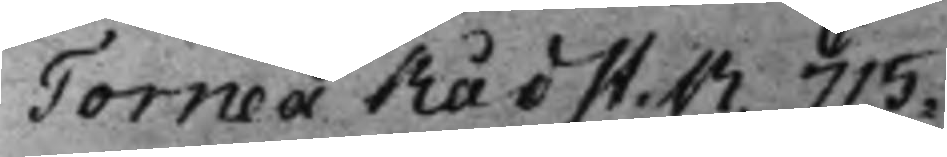Torneå Rådst.R. 715.
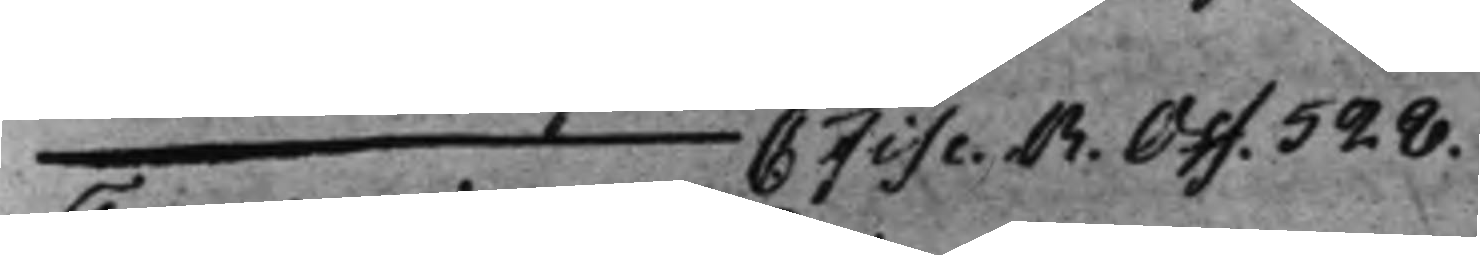— C. Fisc. R. Off. 528.
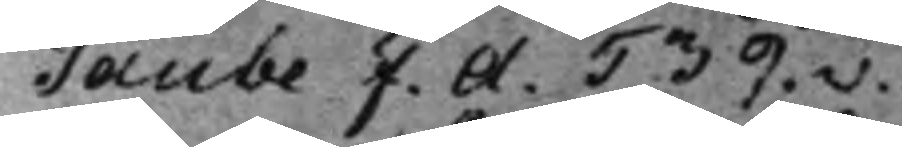Taube F. A. 539.v.
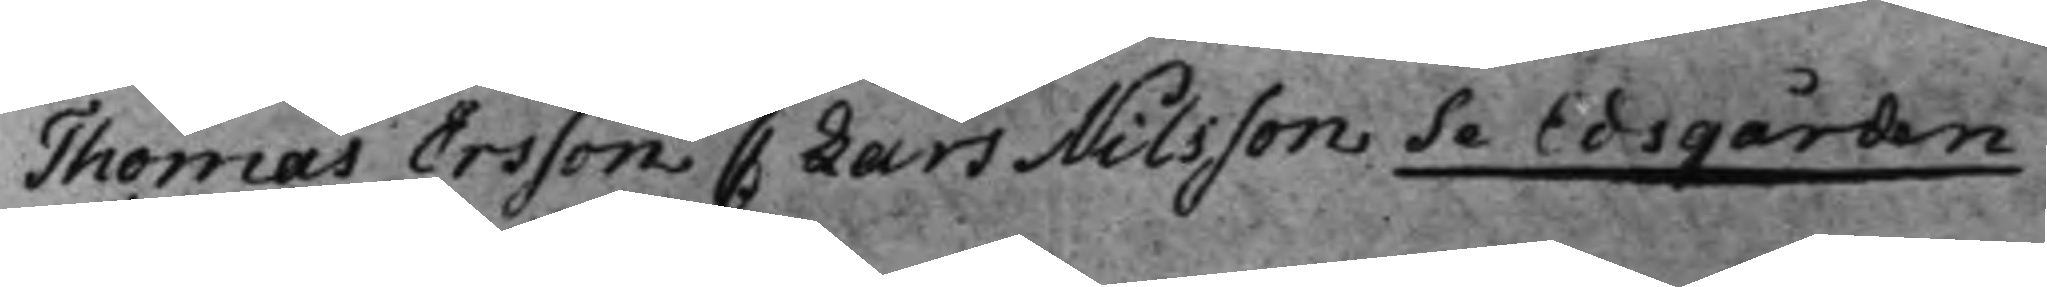Thomas Ersson C Lars Nilsson Se Edsgården
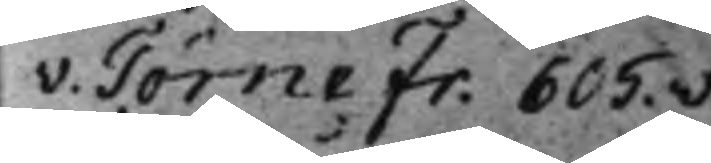v. Törne Fr. 605.v.
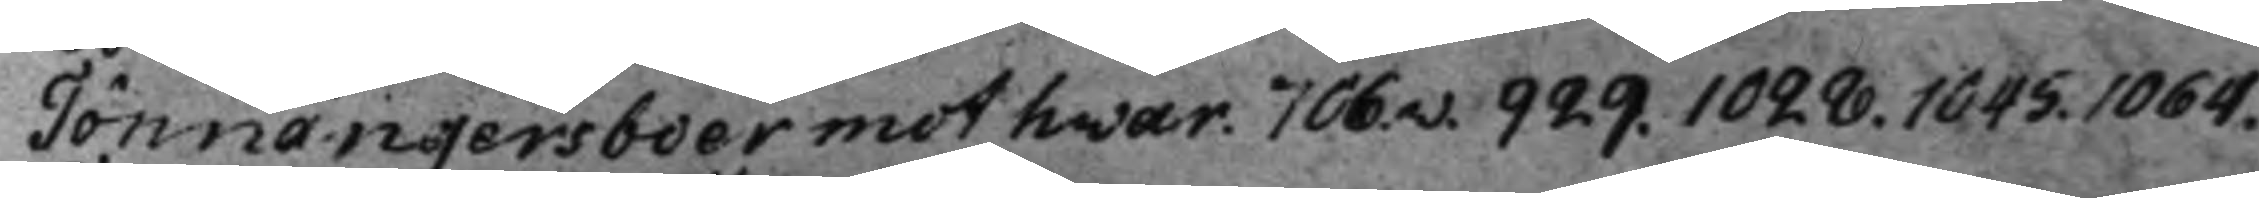Tönnängersboer mot hwar. 706.v. 929. 1028. 1045. 1064.
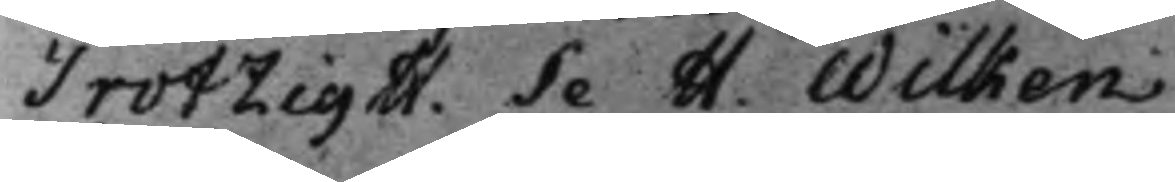Trotzig H. Se H. Wilken.
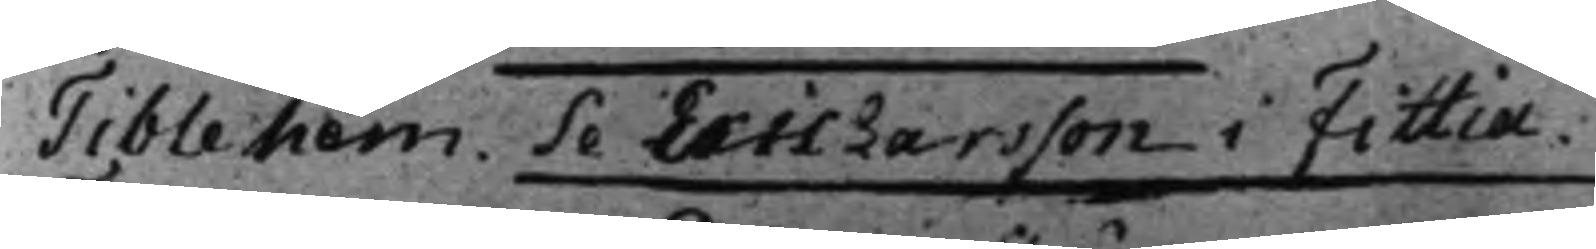Tible hem. Se Eric Larsson i Fittia.
